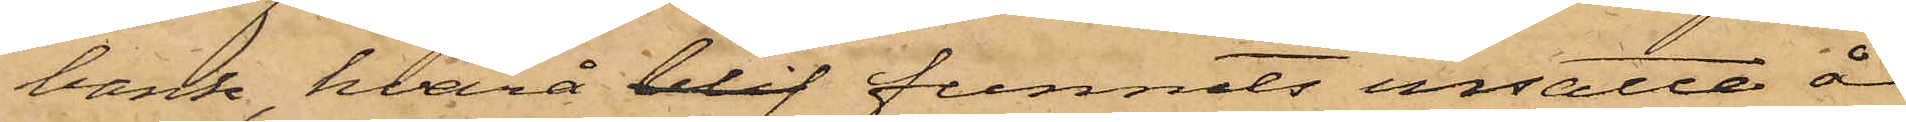band hvarå blif funnits insatte å
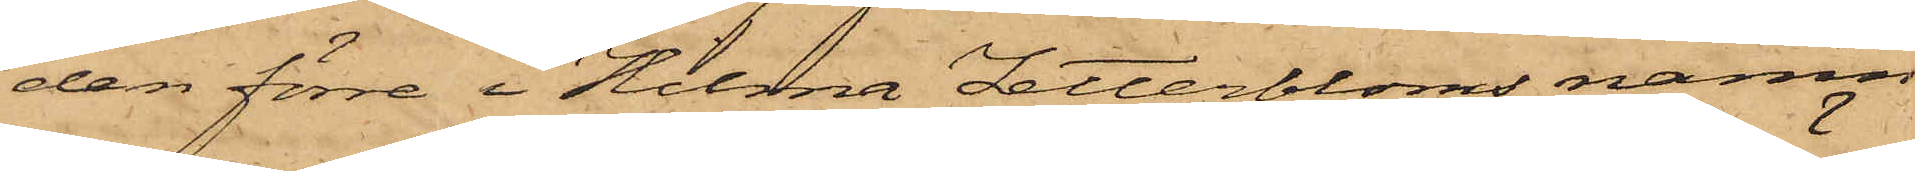den förre i Hilma Zetterbloms namn
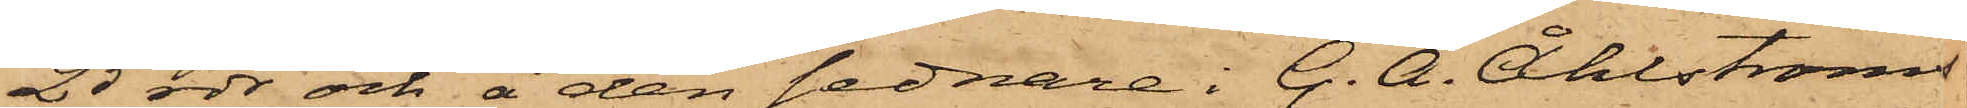25 rdr och å den sednare i G. Å. Åhlströms
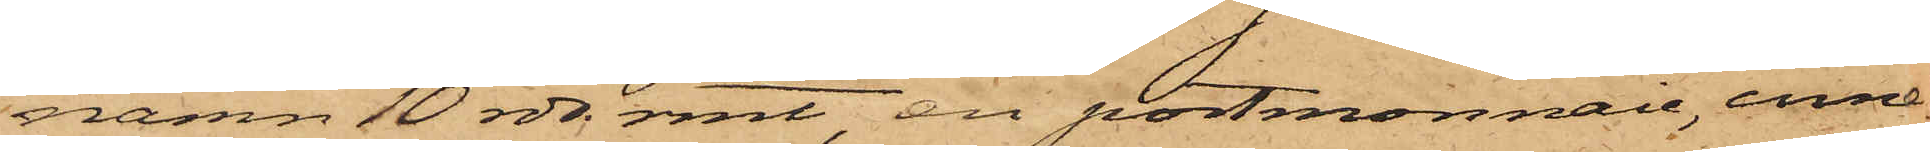namn 10 rdr rmt, en portmonnaie, inne¬
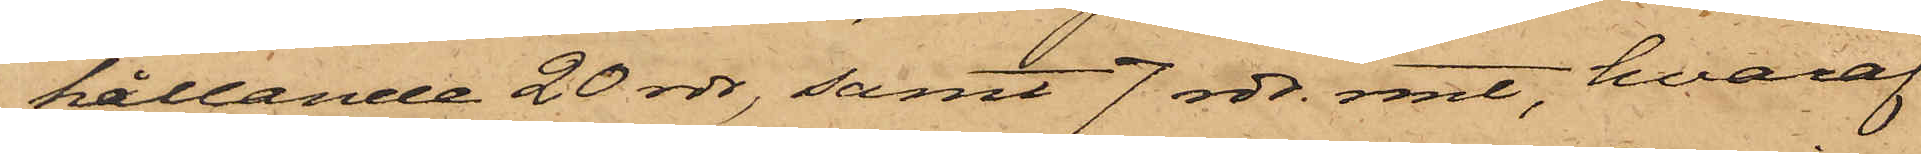hållande 20 rdr, samt 7 rdr. rmt, hvaraf
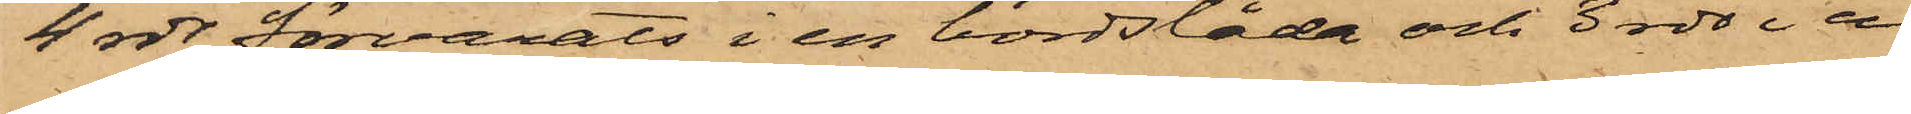4 rdr förvarats i en bordslåda och 3 rdr i en
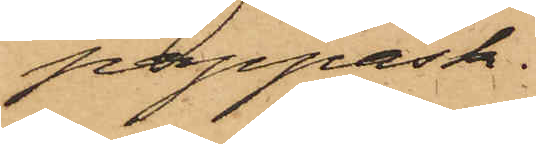pappask.
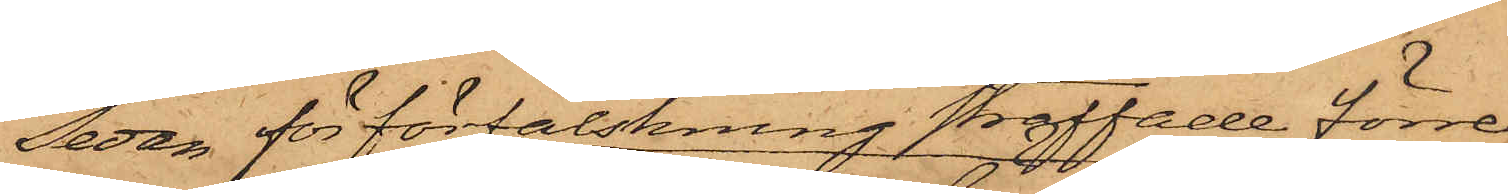Sedan för förfalskning straffade förre
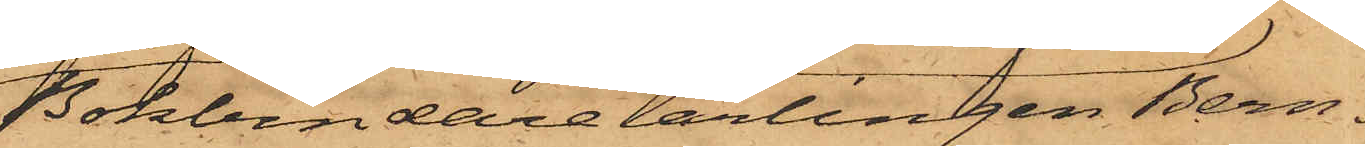Bokbindarelärlingen Bern¬
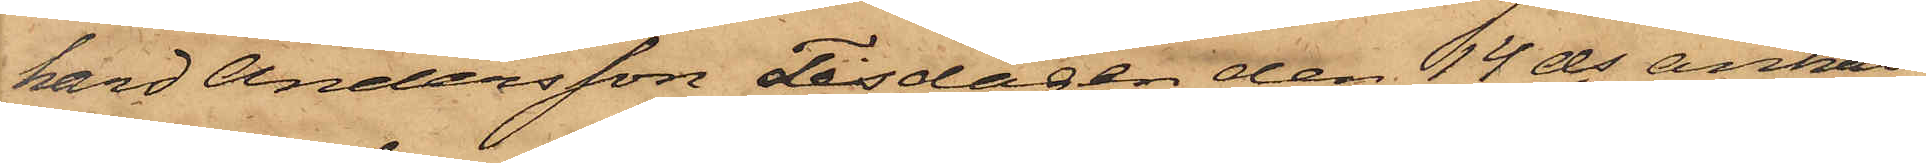hard Andersson Tisdagen den 14 ds anhål¬
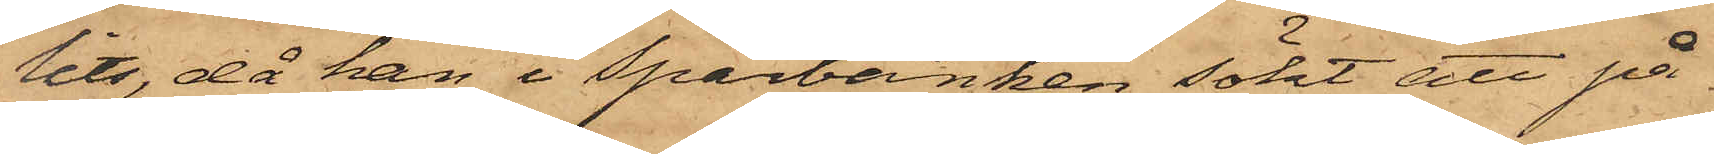lits, då han i Sparbanken sökt att på
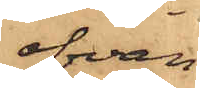ofvan
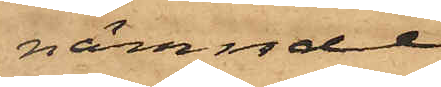nämnde
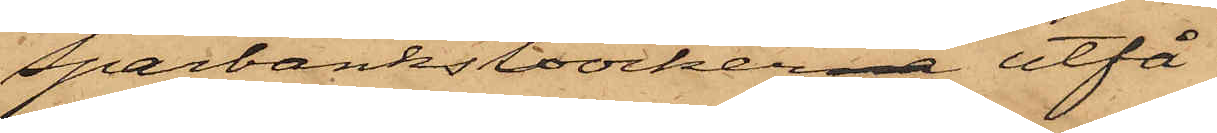Sparbanksböckerna utfå
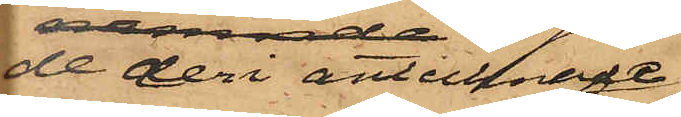de deri antecknade
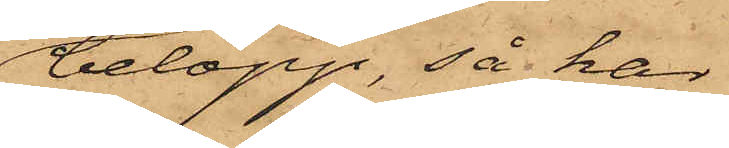belopp, så har
